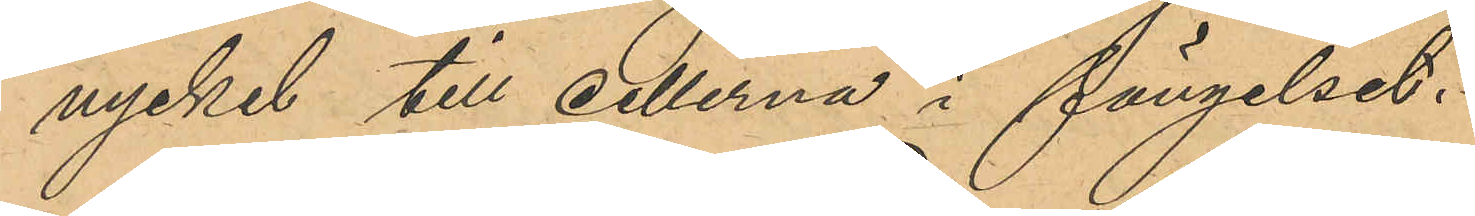nyckel till cellerna i fängelset.
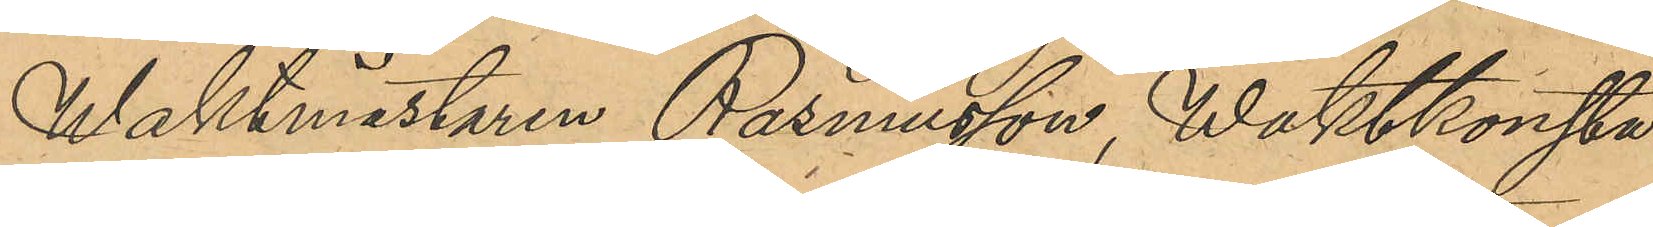Waktmästaren Rasmusson, Waktkonsta¬
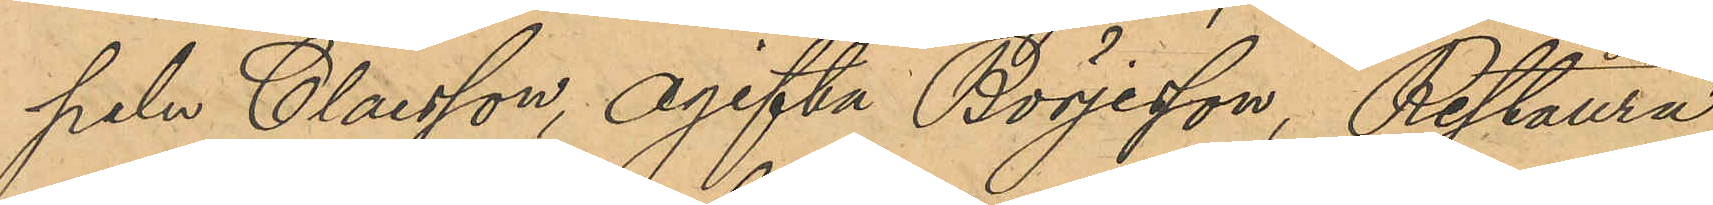peln Claesson, ogifta Börjesson, Restaura¬
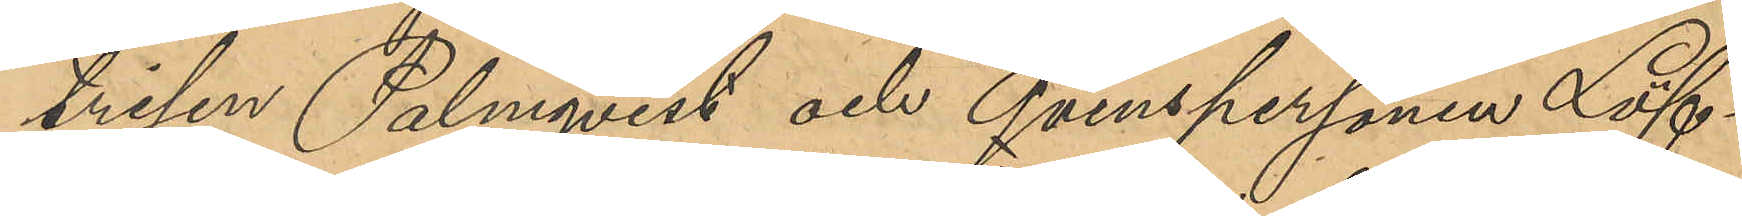trisen Palmqvist och qvinspersonen Löf¬
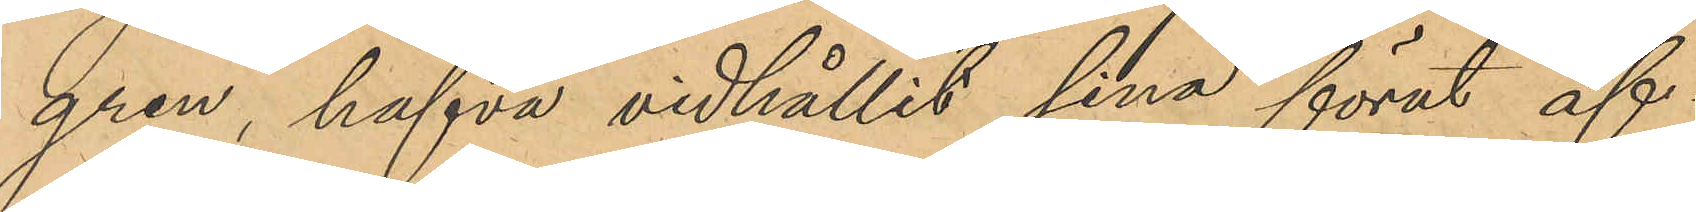gren, hafva vidhållit sina förut af¬
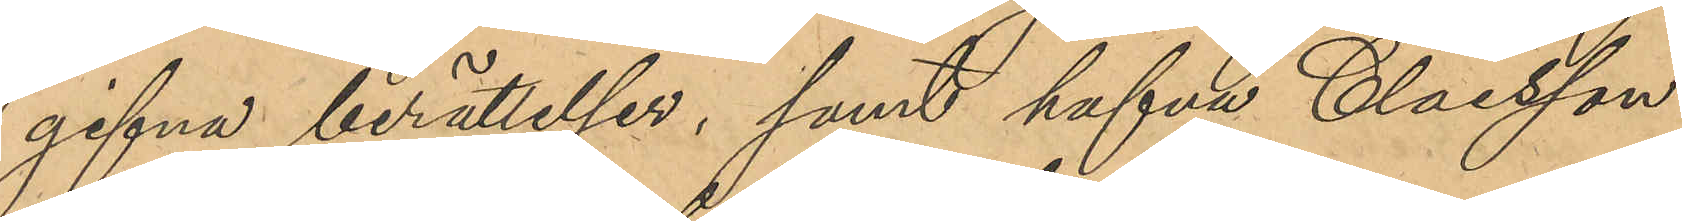gifna berättelser, samt hafva Claesson
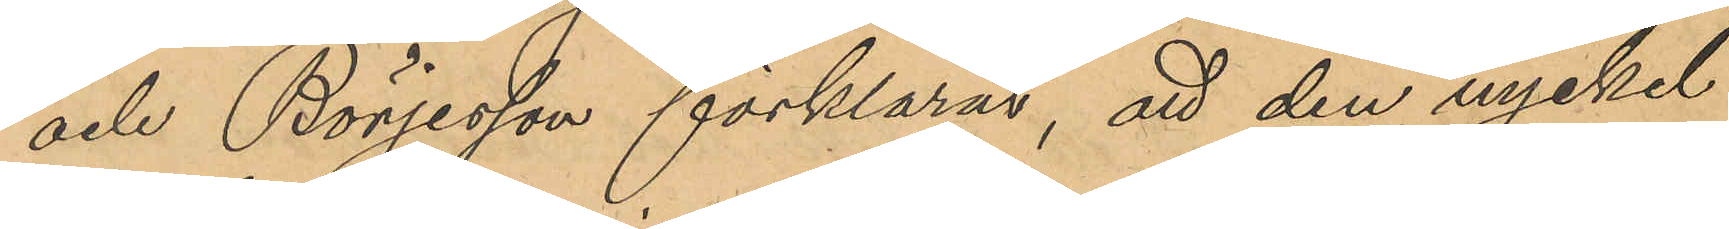och Börjesson förklarat, att den nyckel
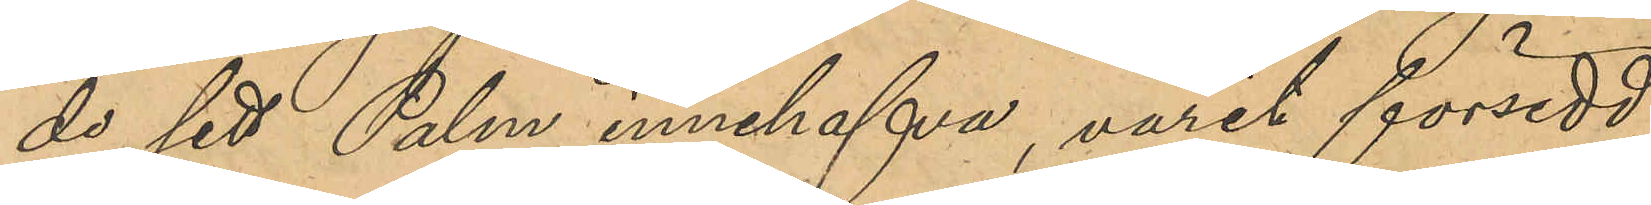de sett Palm innehfava, varit försedd
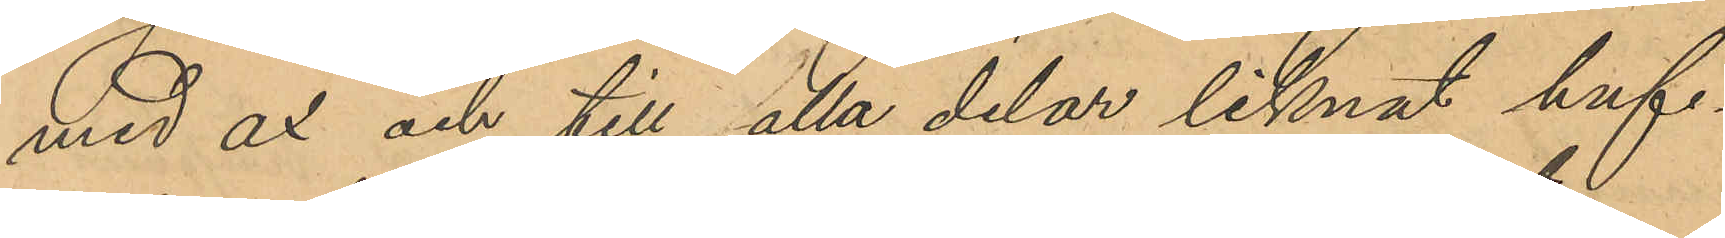med ax och till alla delar liknat huf¬
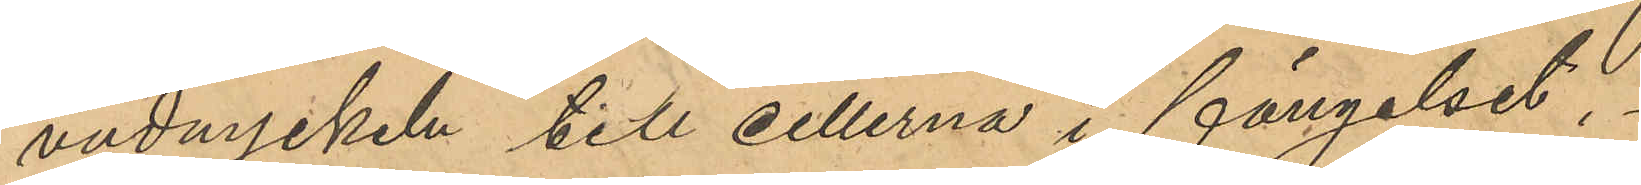vudnyckel till cellerna i fängelset.
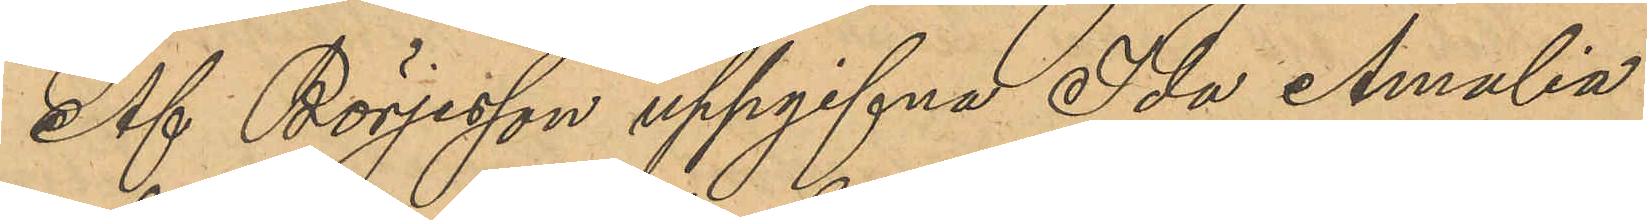Af Börjesson uppgifna Ida Amalia
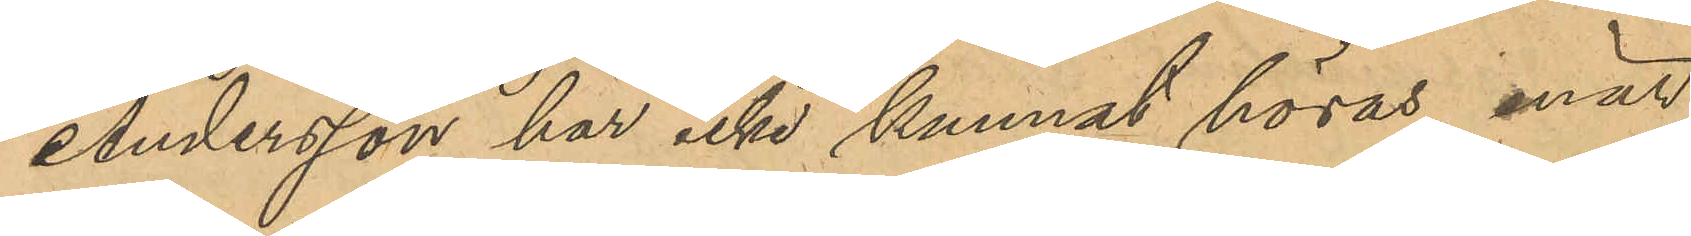Andersson har icke kunnat höras, enär
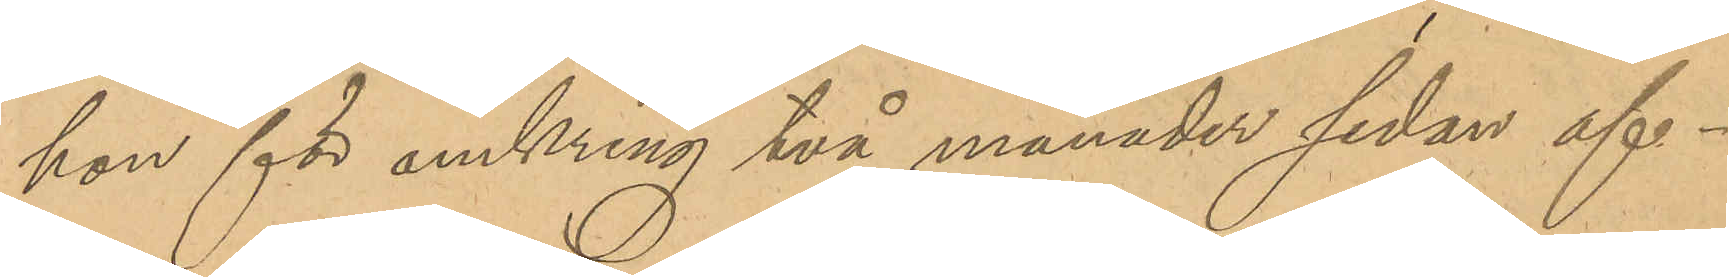hon för omkring två månader sedan af¬
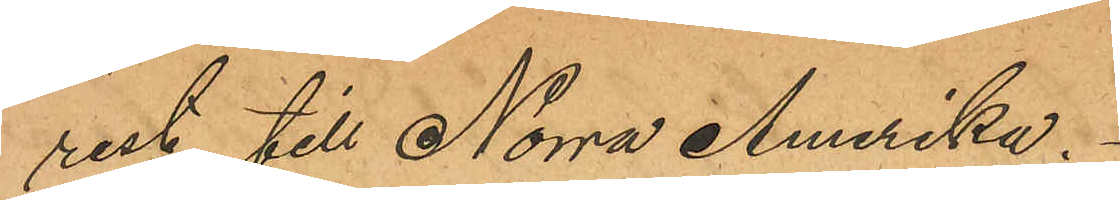rest till Norra Amerika.
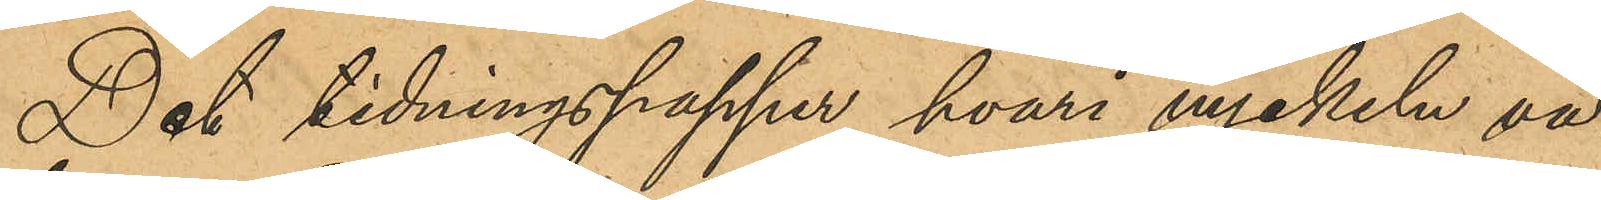Det tidningspapper hvari nyckeln va¬
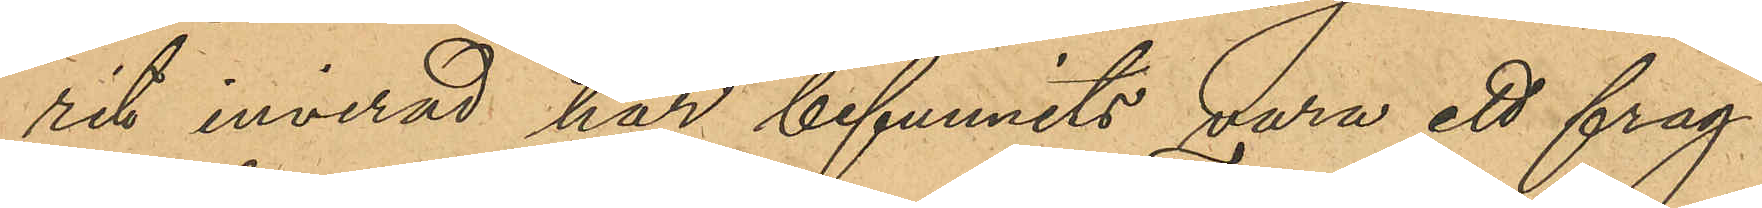rit invirad har befunnits vara ett frag¬
